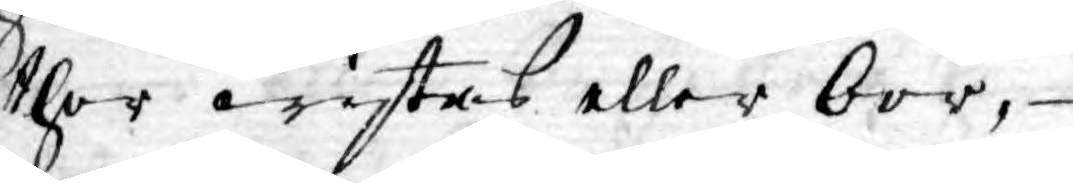ther wistas eller bor,
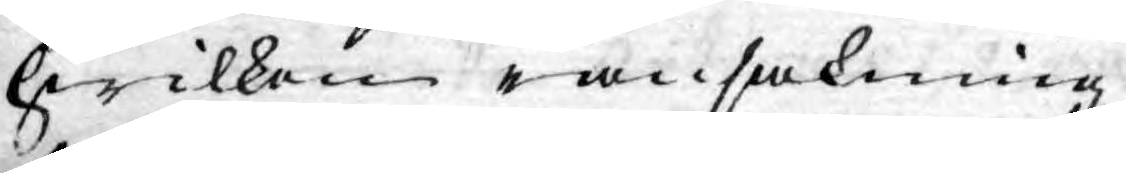hwilken ransakning
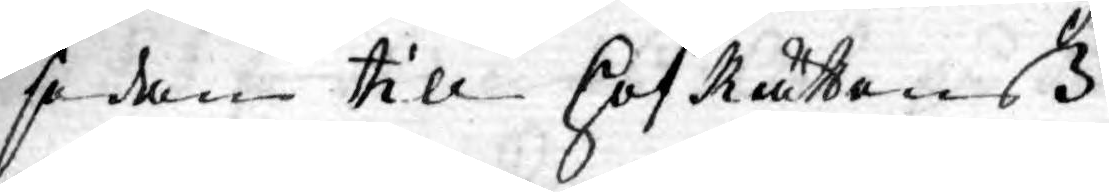sedan till HofRättenß
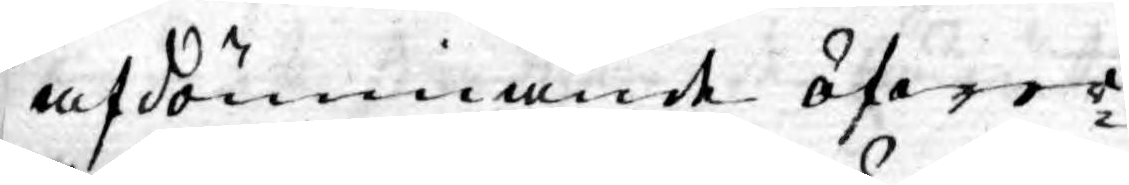afdömmande öfwer¬
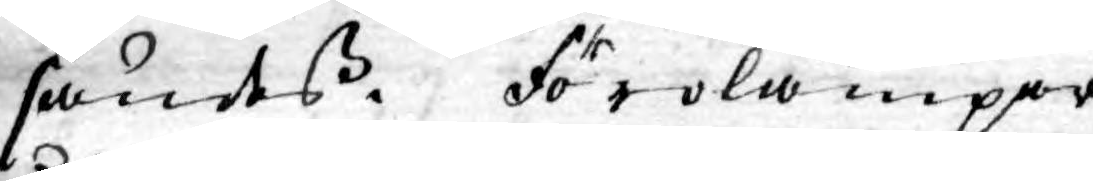sändes. Förolämpar
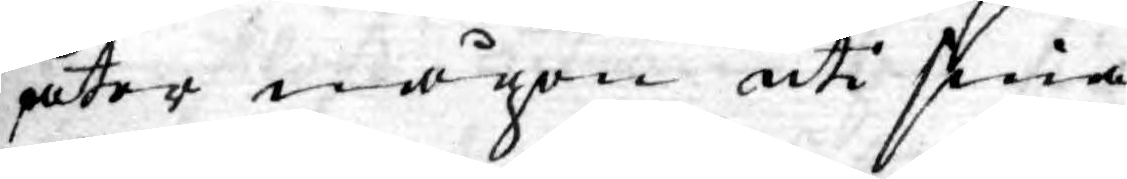åter någon uti sina
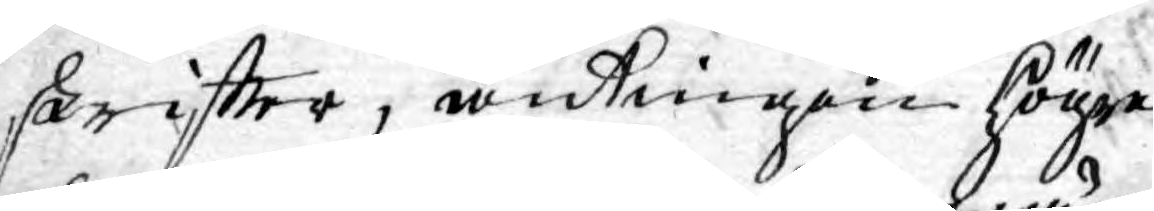skriftter, antingen Högre
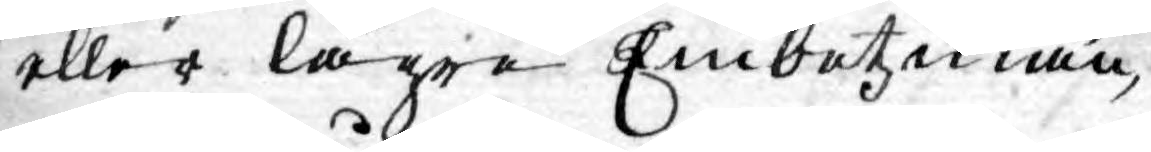eller lägre Embetzmän
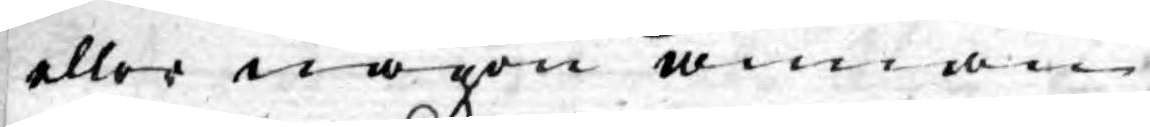eller någon annan
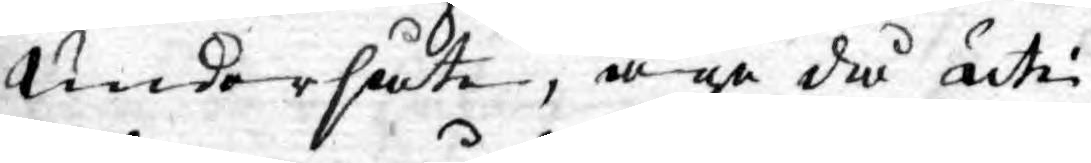undersåte, äge då uti
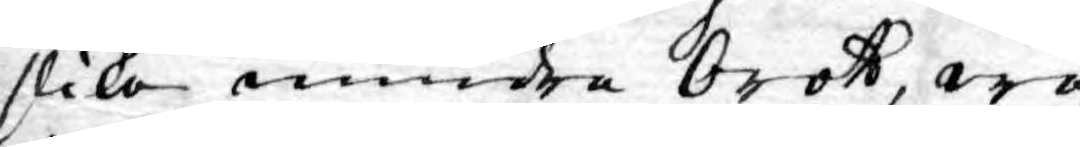slika mindre brott, we¬
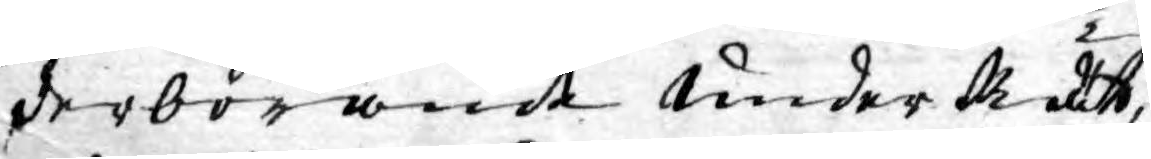derbörande under Rätt,
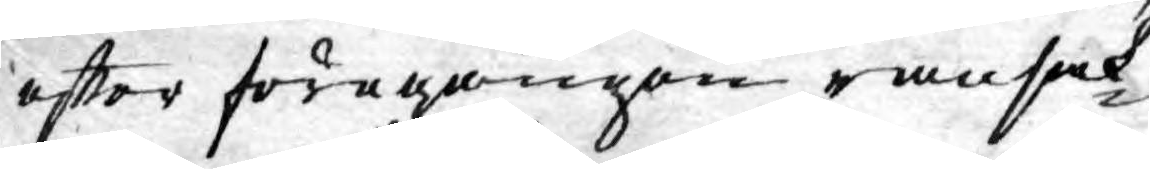effter föregången ransak¬
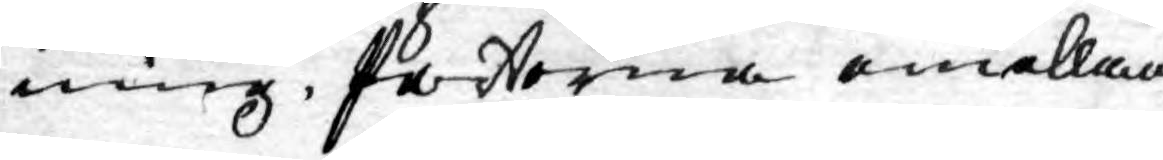ning, Parterna emellan
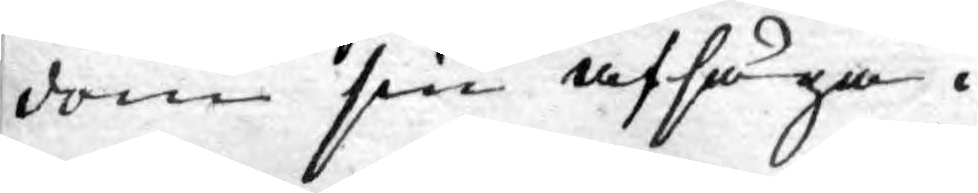dom sin afsäga.
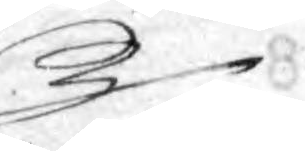B¬
